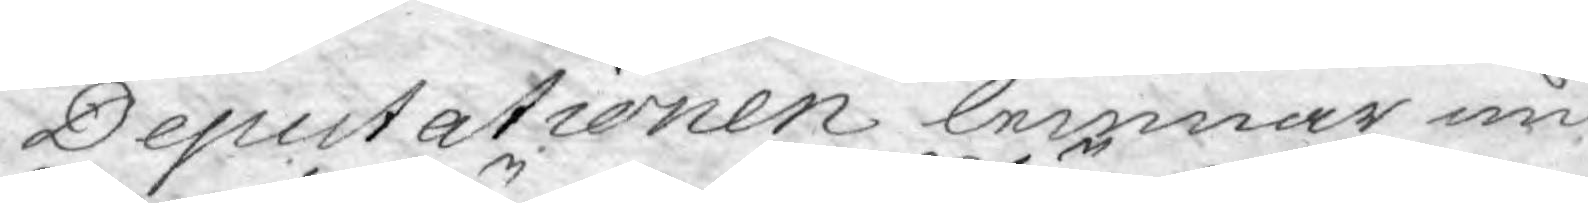Deputationen lemnar nu
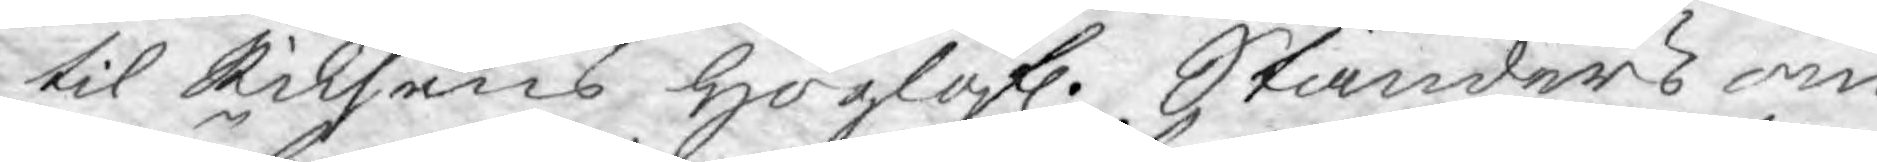til Riksens Höglofl: Ständers om
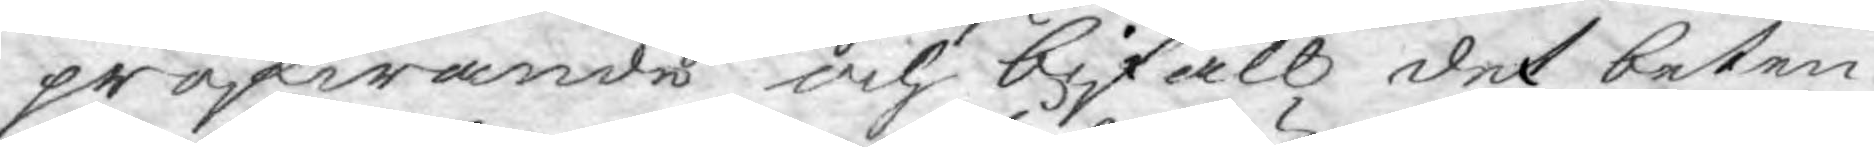pröfwande och bifall det beten¬
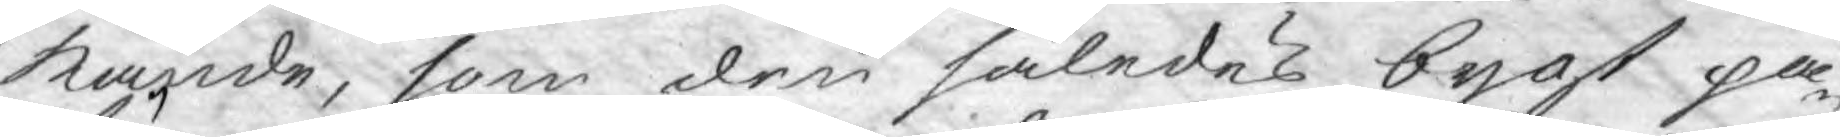kande, som den således bygt på
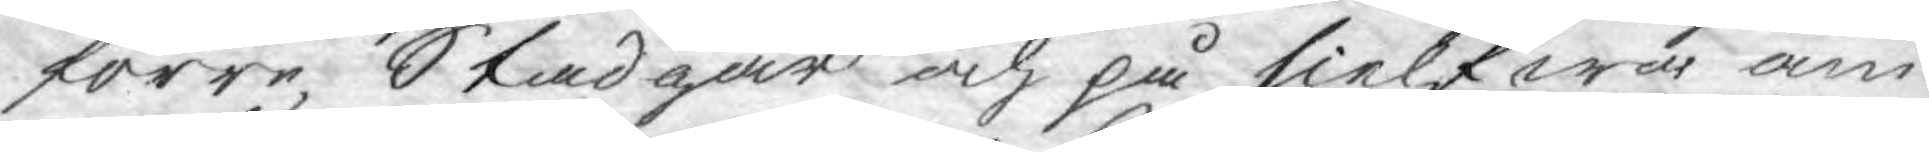förre Stadgar och på sielfwa äm¬
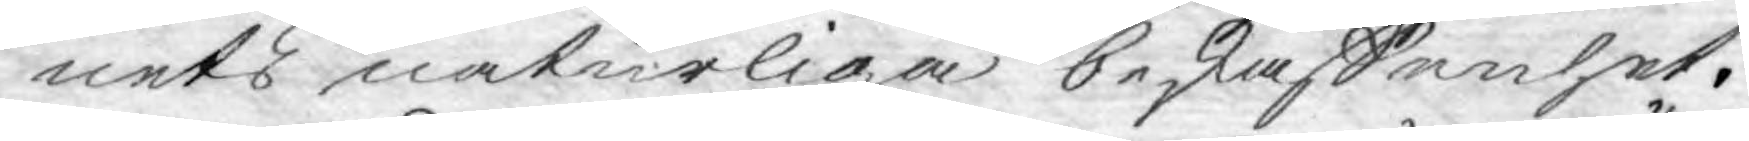nets naturliga beskaffenhet.
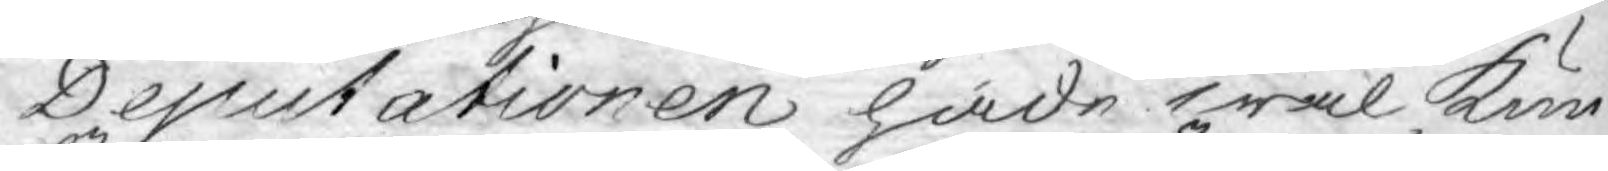Deputationen hade wäl kun¬
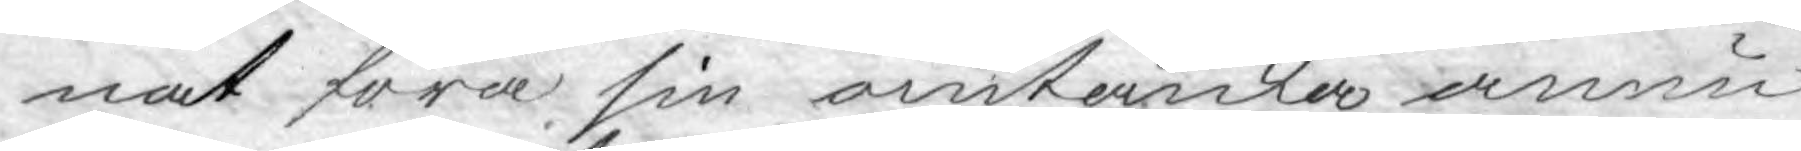nat föra sin omtanka ännu
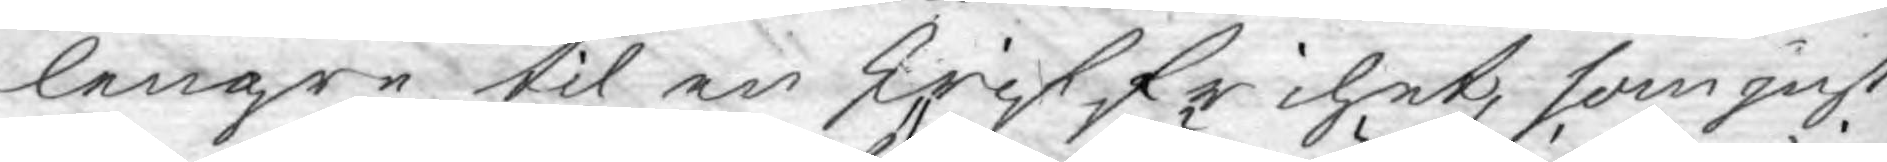lengre til en skriffrihet, som just
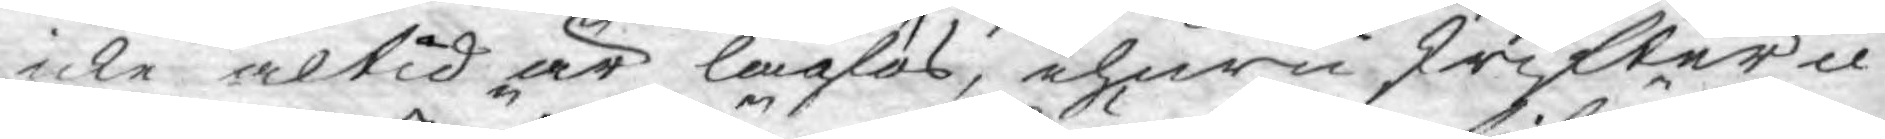icke altid är laglös, ehuru skrifter ic¬
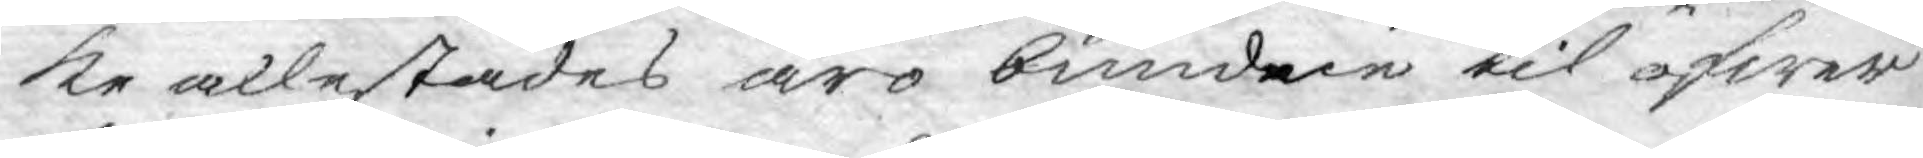ke allestädes äro bundne til öfwer¬
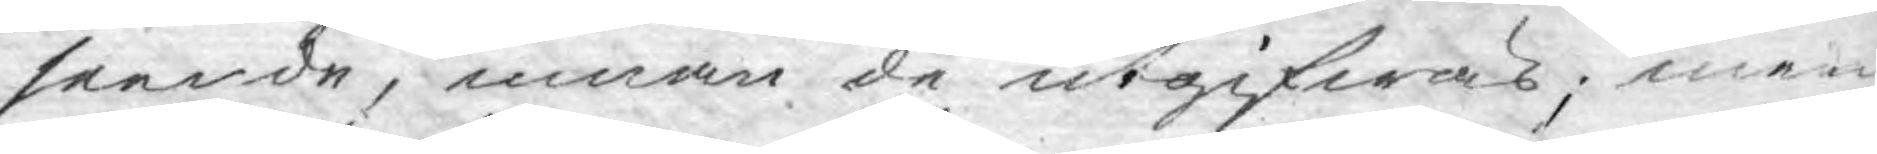seende, innan de utgifwas; men
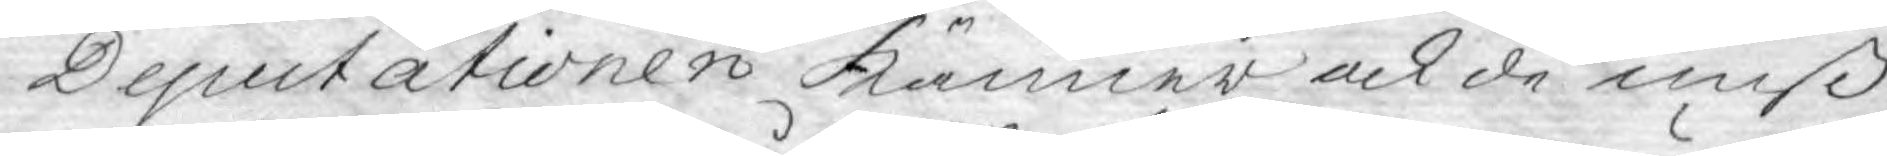Deputationen känner ock de miß¬
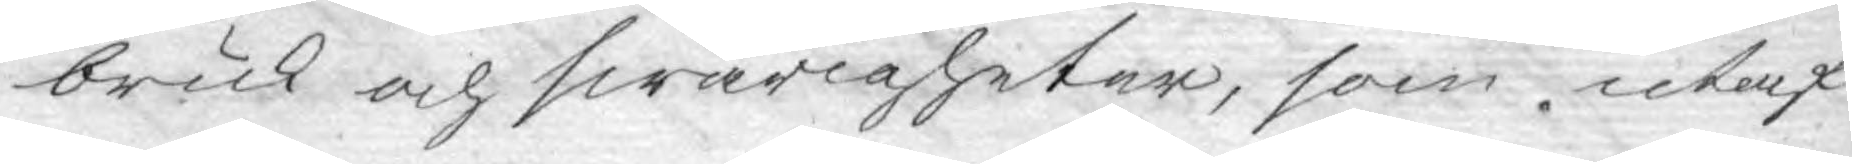bruk och swårigheter, som utaf
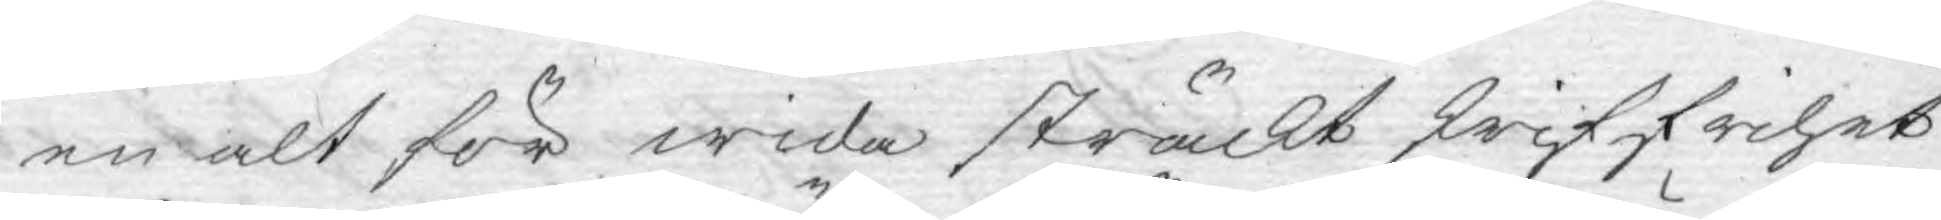en alt för wida sträckt skriffrihet
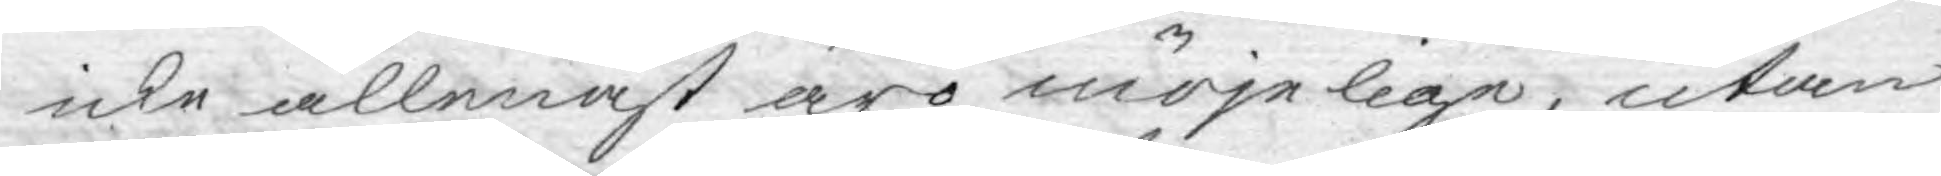icke allenast äro möjelige, utan
